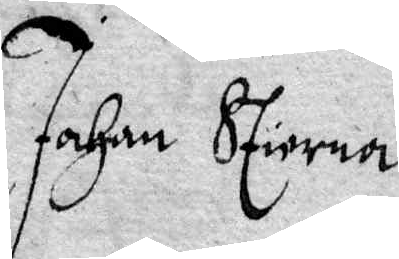Johan Stiorna
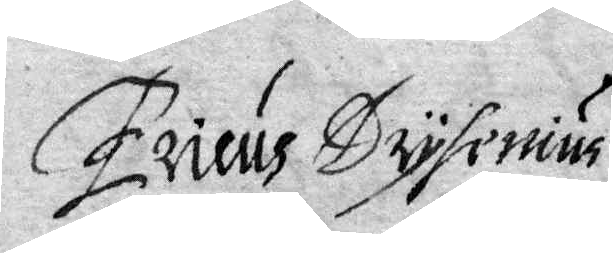Ericus Drysenius
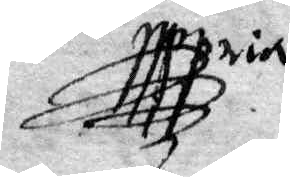Mria
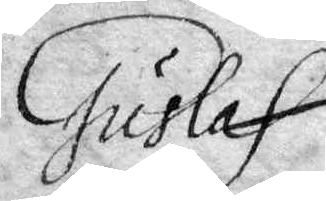Gustaf
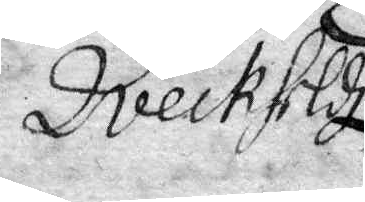Dveckheldz
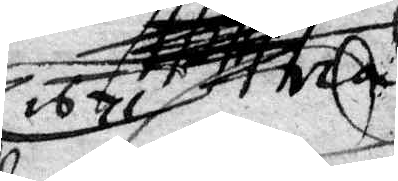1671
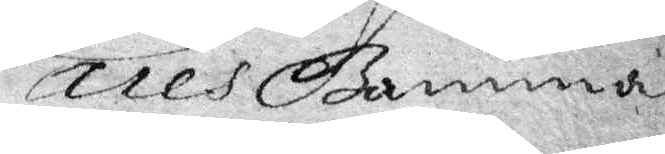Lares Banna
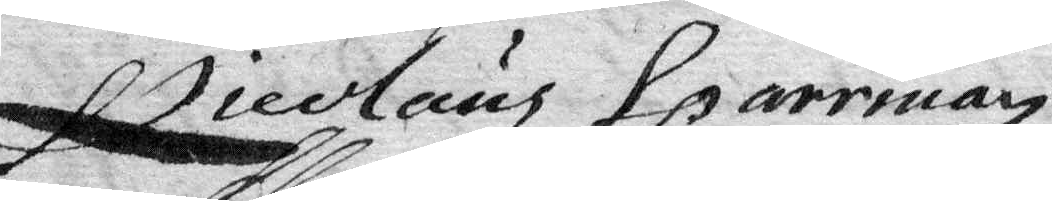Nicolaus Sparrman
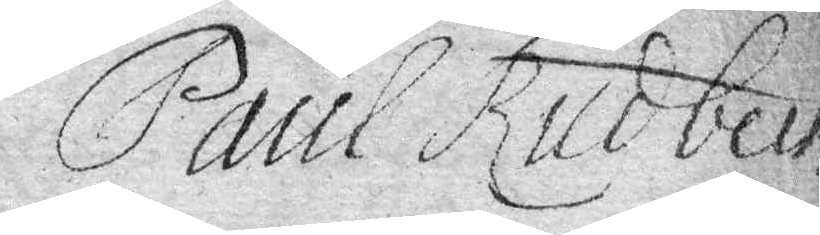Paul Rudbeck
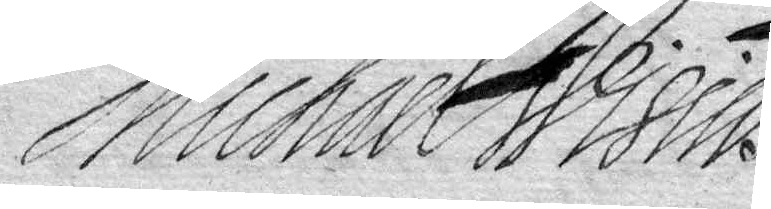Michael Wisius
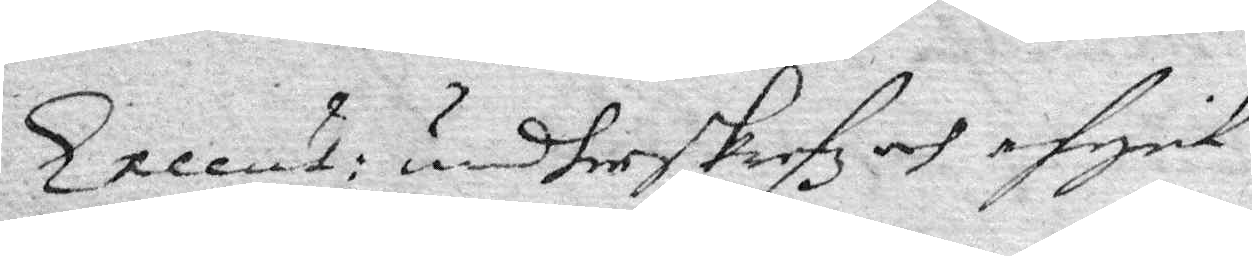Excent: undherskrefz och afgick
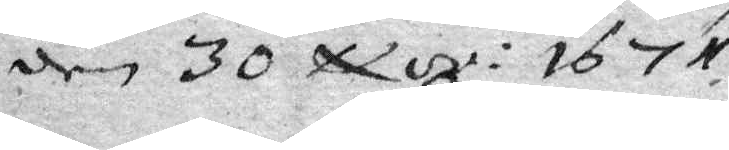den 30 Nov: 1671.
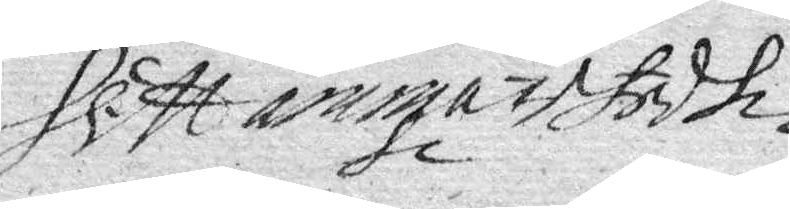H Mangastedth
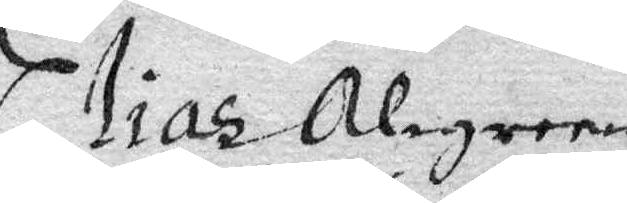Elias Algreen
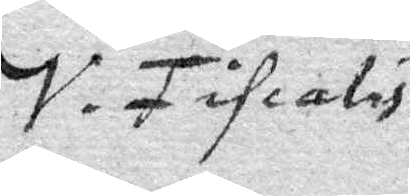V. Fiscalis
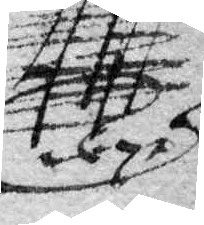1671
